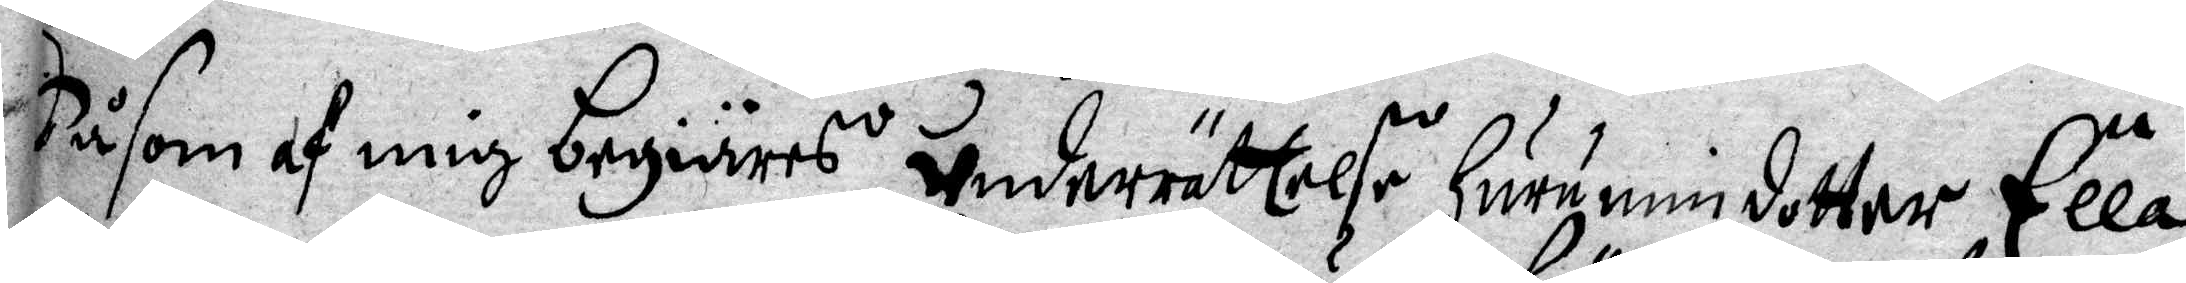Då som af mig begiäres underrättelse Huru min dotter Ella
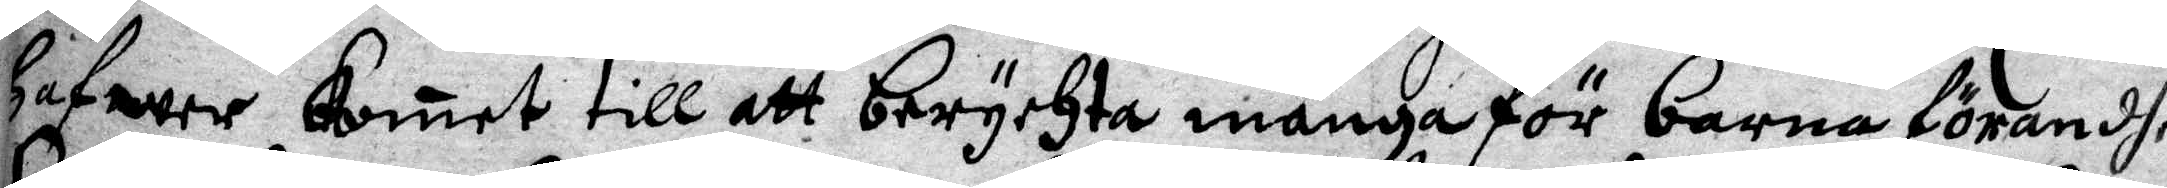Hafwer komet till att berychta många för barna förandhe
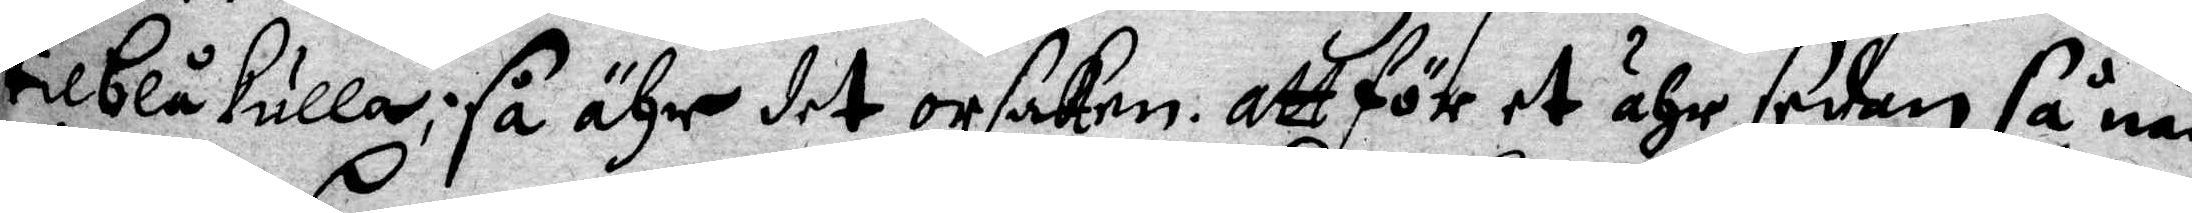til blåkulla; så ähr det orsaken. Att för et ähr sedan så när
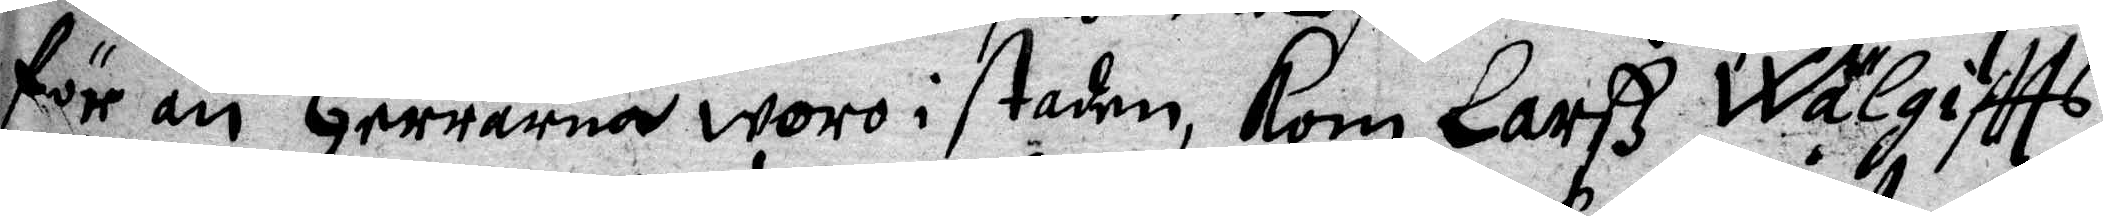för än Herrerna woro i staden, kom Larß Wälgiftts
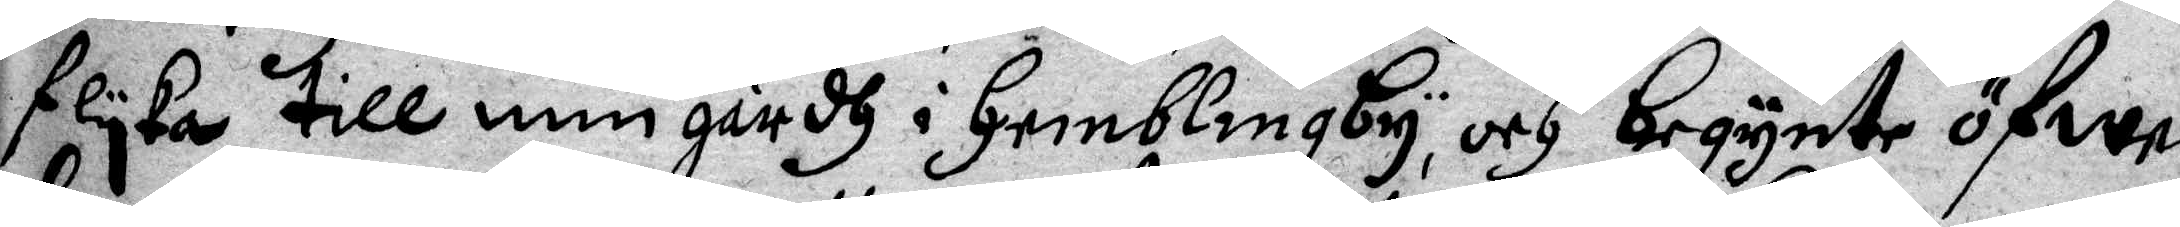flyka till min gårdh i Hemblingby, och begynte öfwer¬
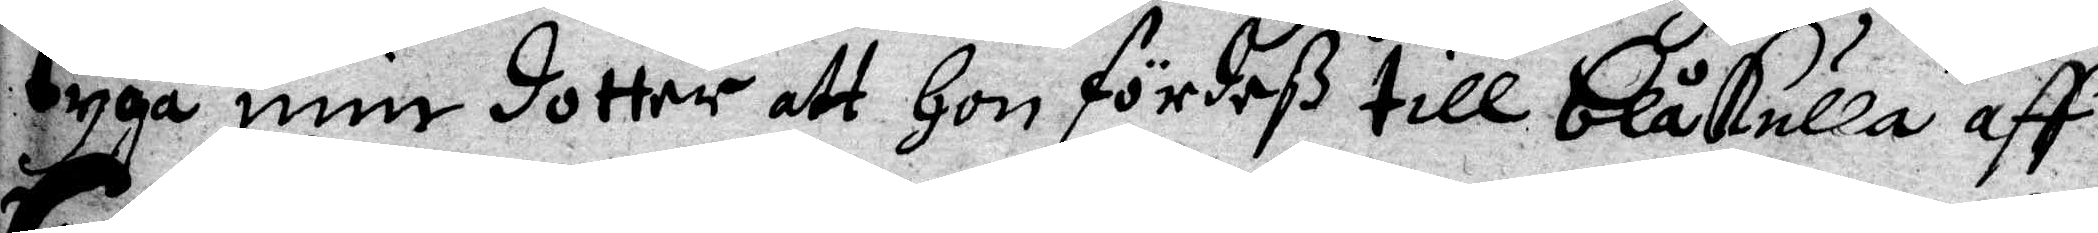tyga min dotter att Hon fördeß till blåkulla aff
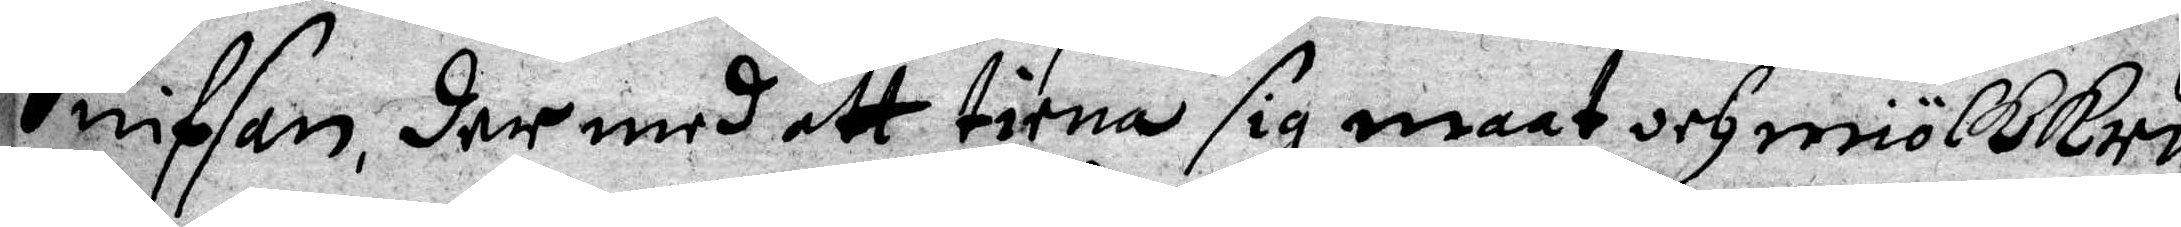Sniffan, der med att tiena sig maat och miölkkru¬
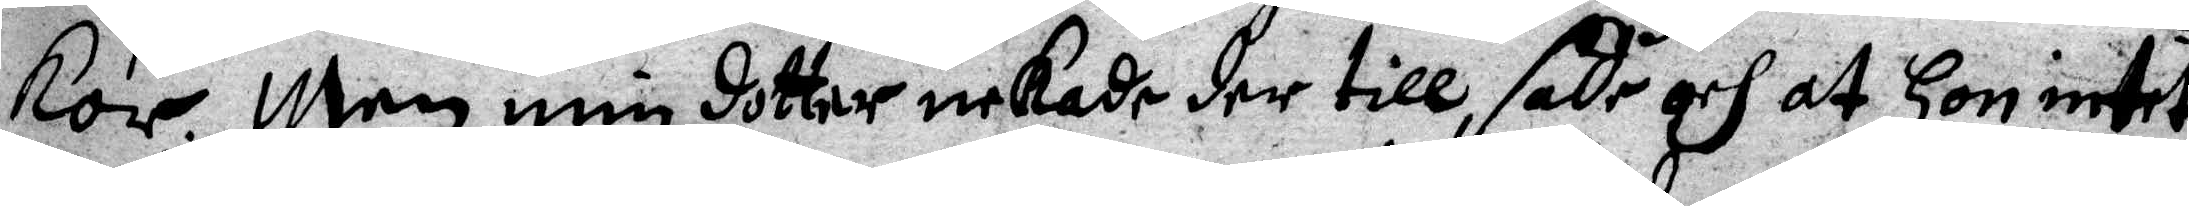kor. Men min dotter nekade der till, sade och at Hon intet
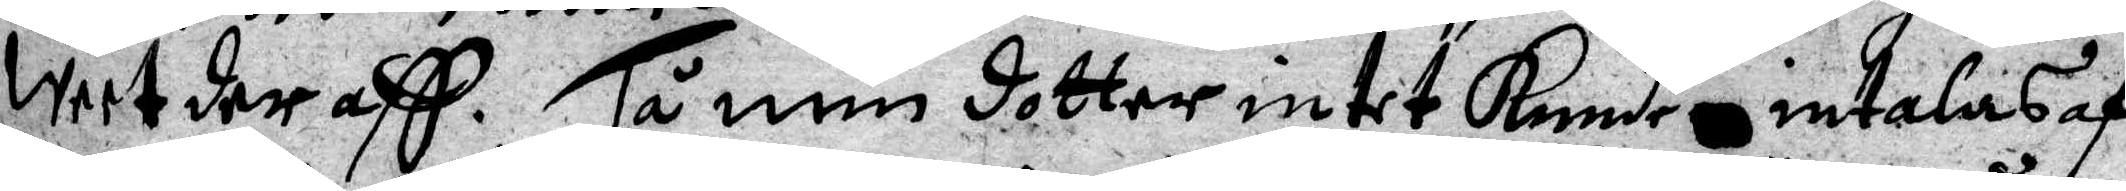weet der aff. Tå min dotter intet kunde intalas af
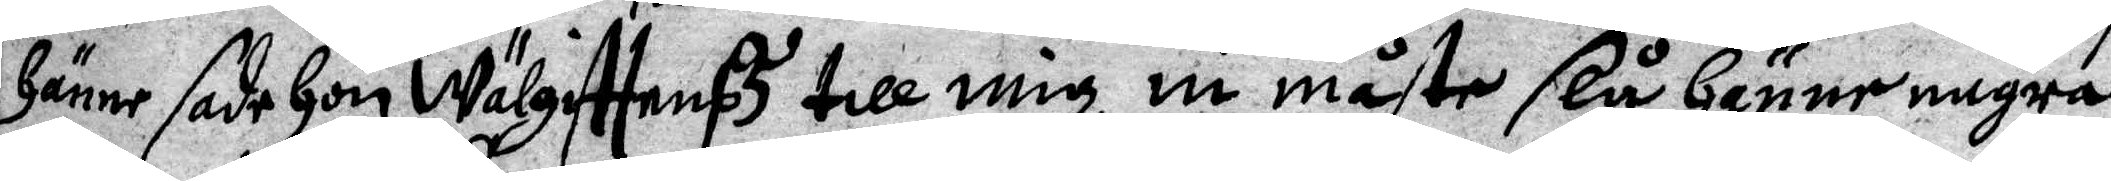Hänne sade Hon wälgifttenss till mig, ni måste slå Hänne några
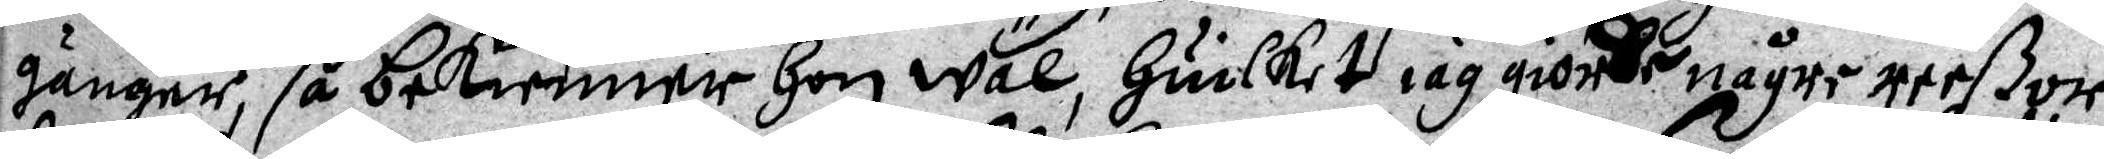gånger, så bekenner Hon wäl, Huilket iag giorde någre reßor
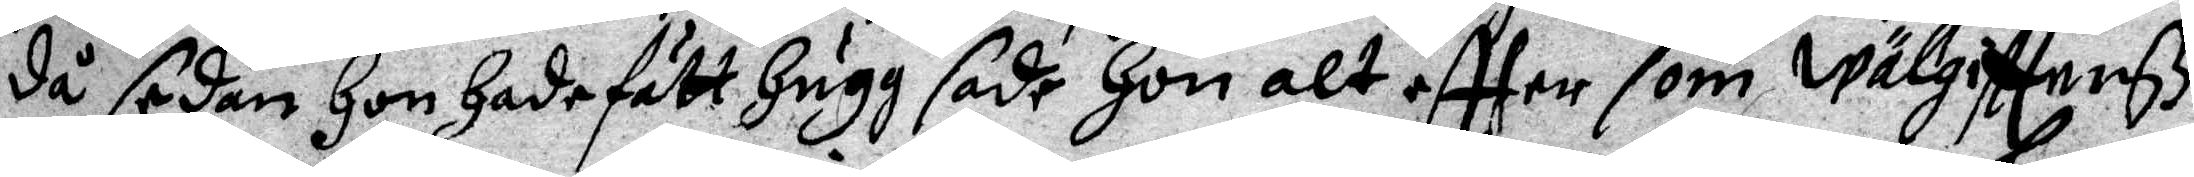då sedan Hon hade fått Hugg, sade Hon alt efter som wälgifttensß
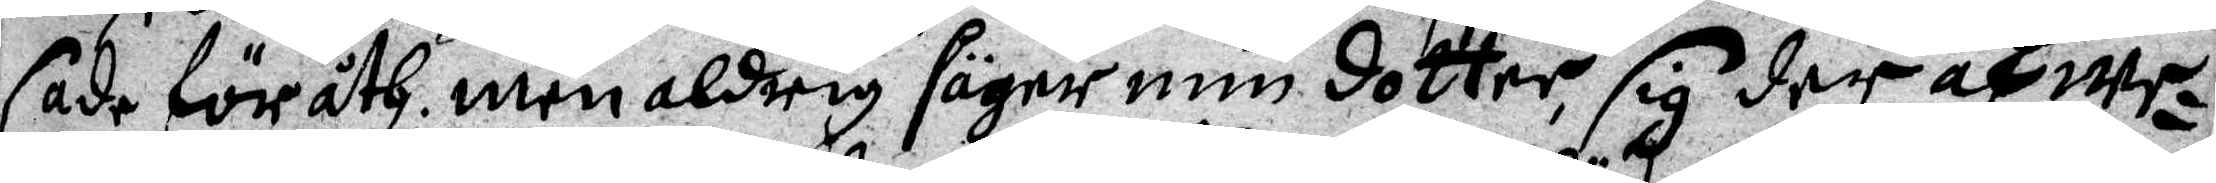sade för åth men aldrig säger min dotter, sig der af we¬
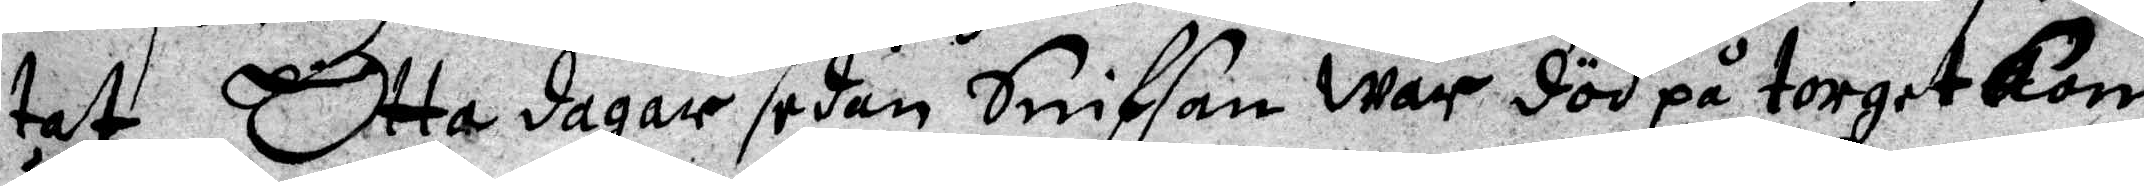tat. Otta dagar sedan Sniffan war död på torget kom
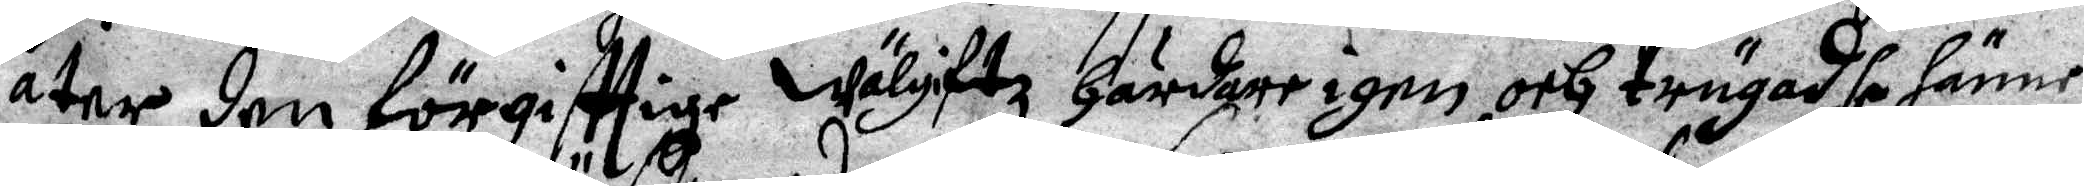åter den förgifttige wälgiftz Härdare igen, och trängdhe Hänne
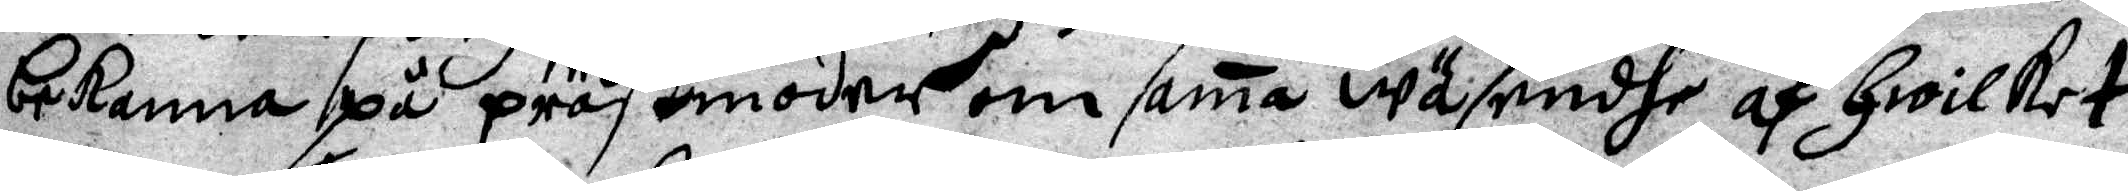bekenna på prästmoder om sama wäsendhe, af Hwilket
